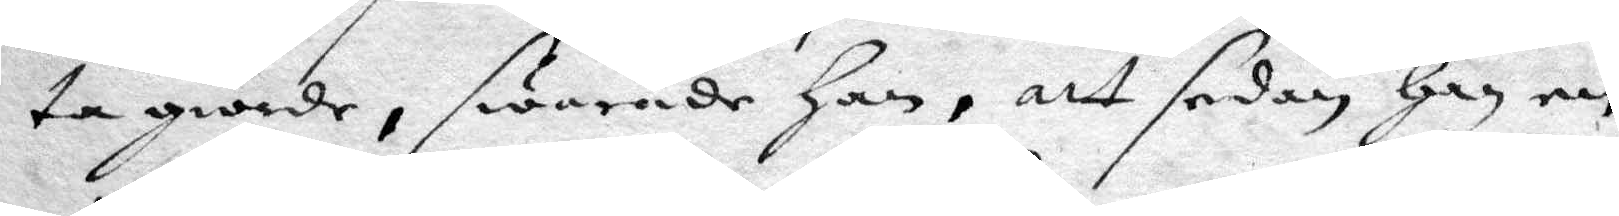ta giorde, swarade han, att sedan ahn en
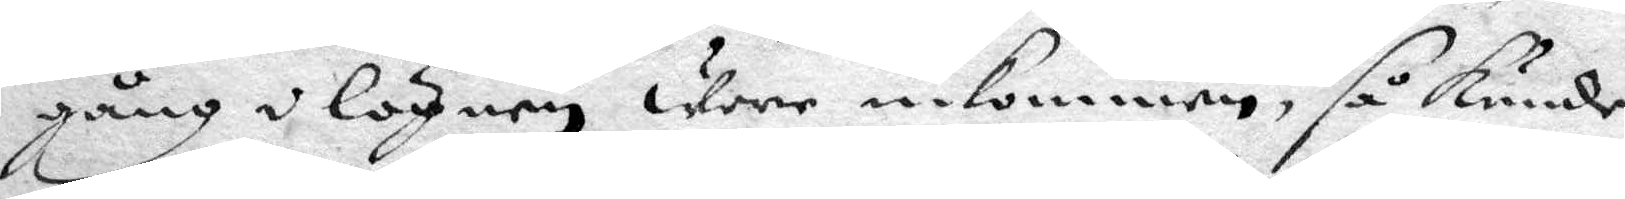gång i lögen wore inkommen, så kunde
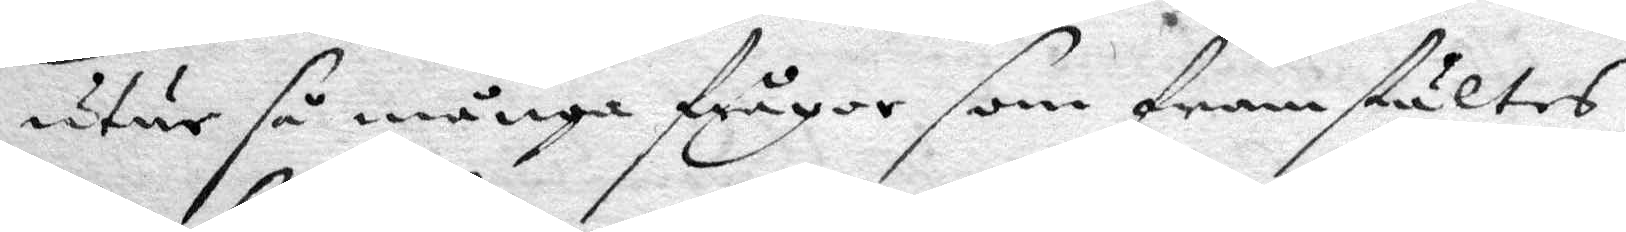uthur så många frågor som framstätes,
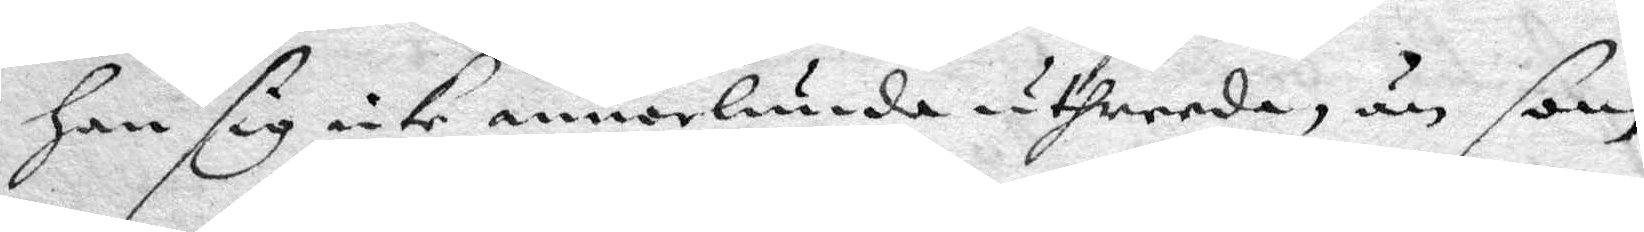han sig icke annorlunda uthreeda, än som
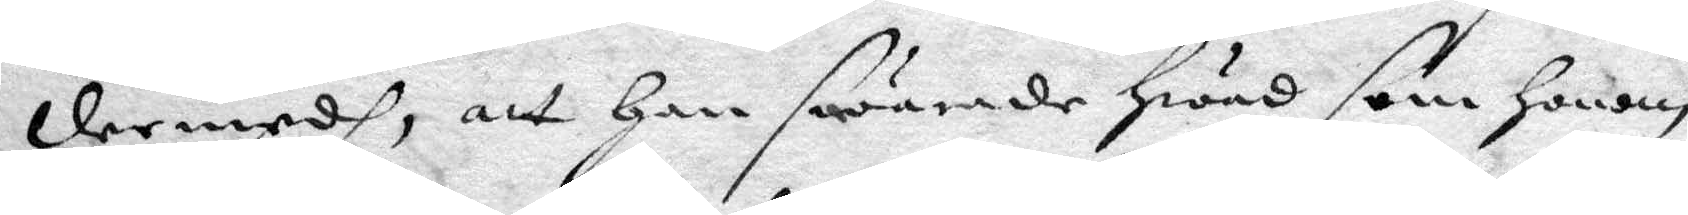dermedh, att han swarade hwad som honom
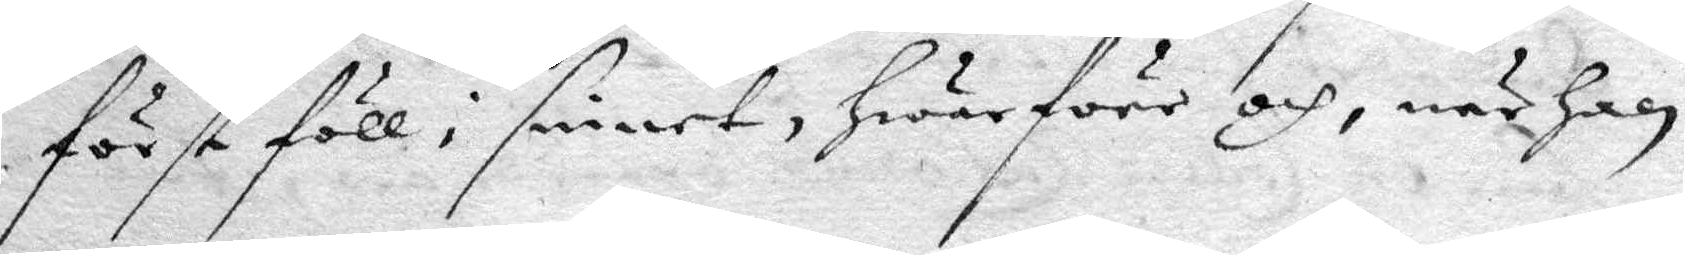först föll i sinnet, hwarföre och, när han
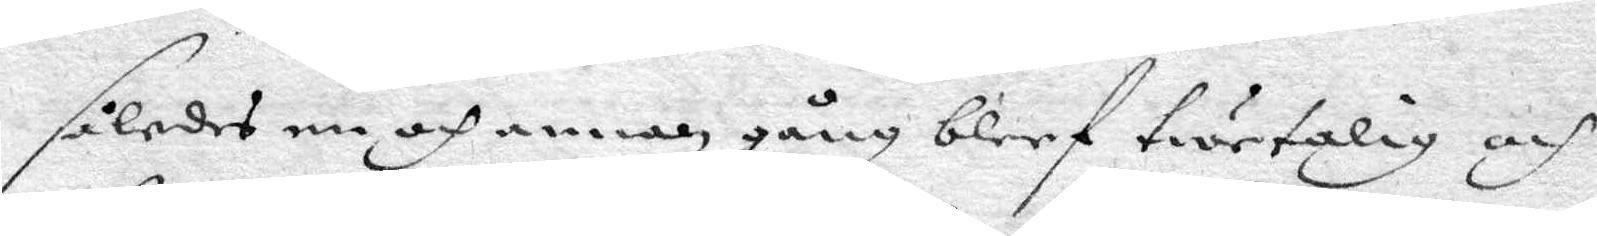således en och annan gång bleef twetalig och
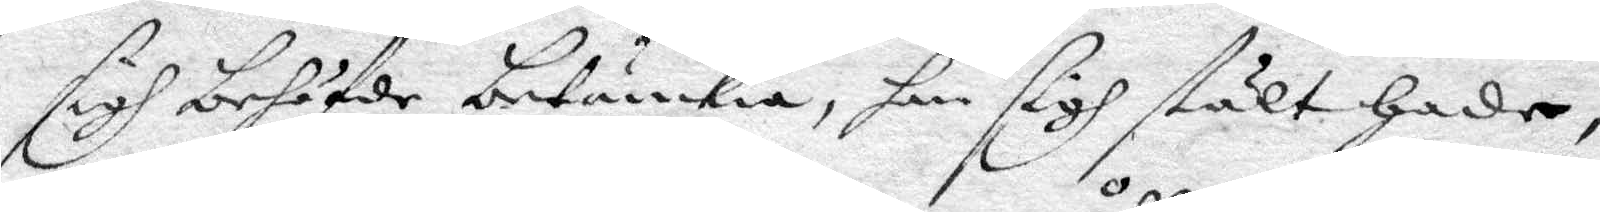sigh behöfde betänkia, han sigh stält hade
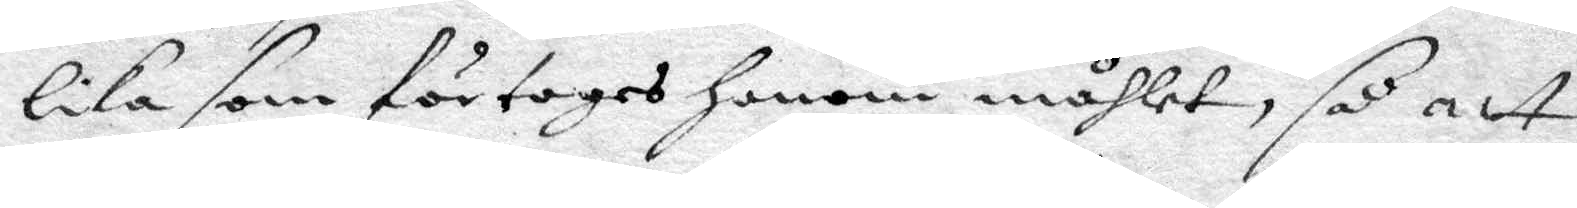lika som förtages honom måhlet, så att
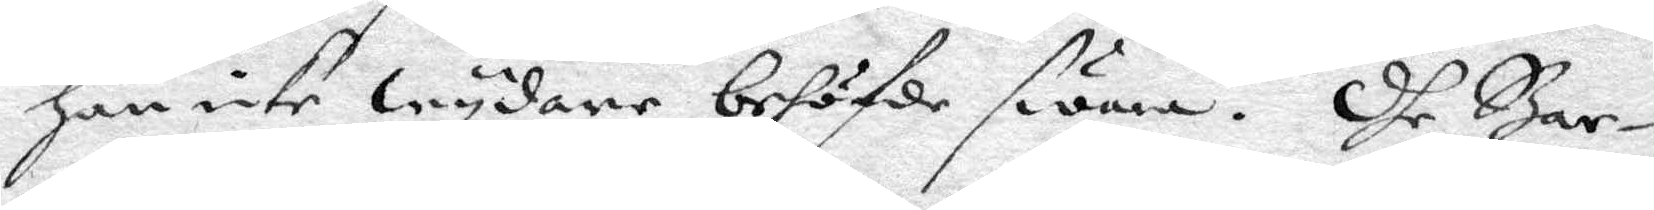han icke wydare behöfde swara. Dhe Bar¬
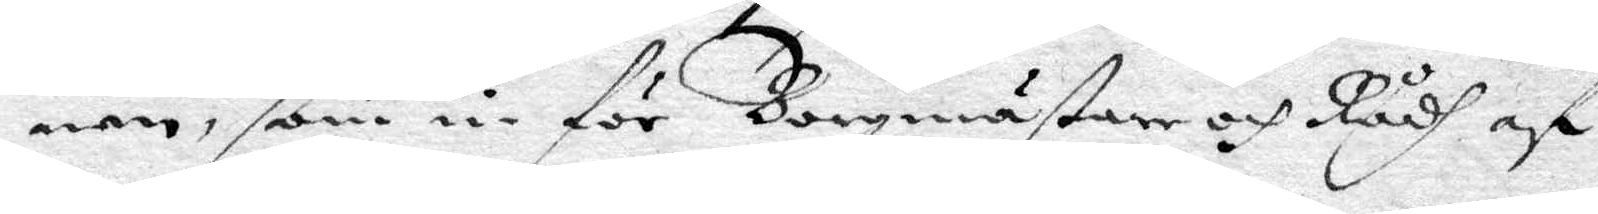nen, som inför Borgmästare och Rådh af
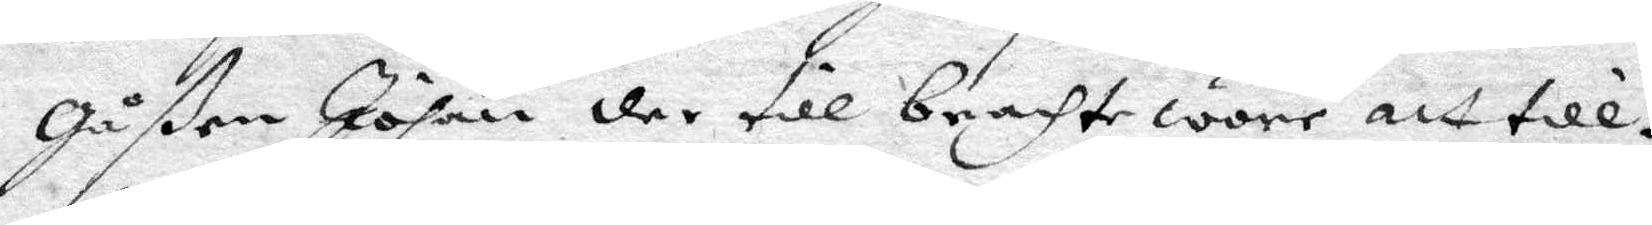Gåßen Johan der till brachte wore att till¬
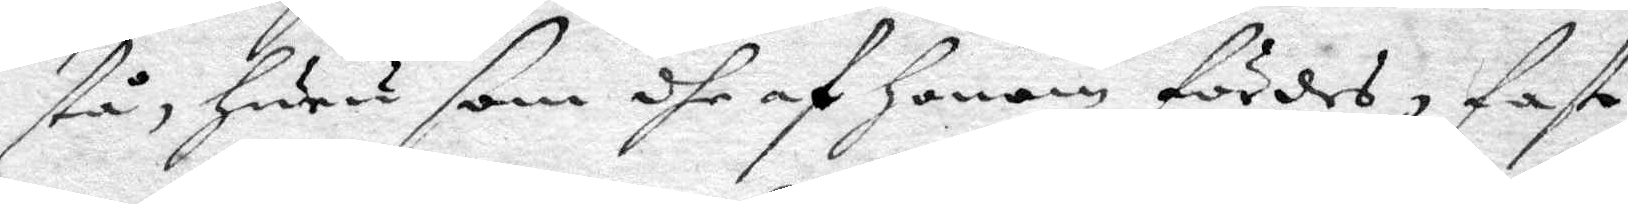stå, huru som dhe af honom fördes, fast
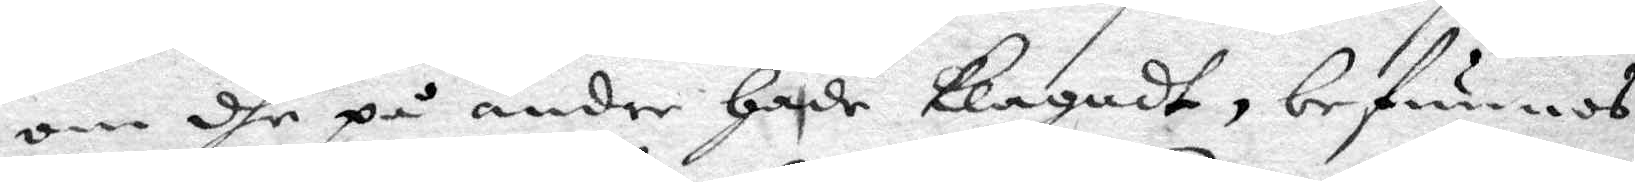om dhe på andre hade klagadt, befunnos
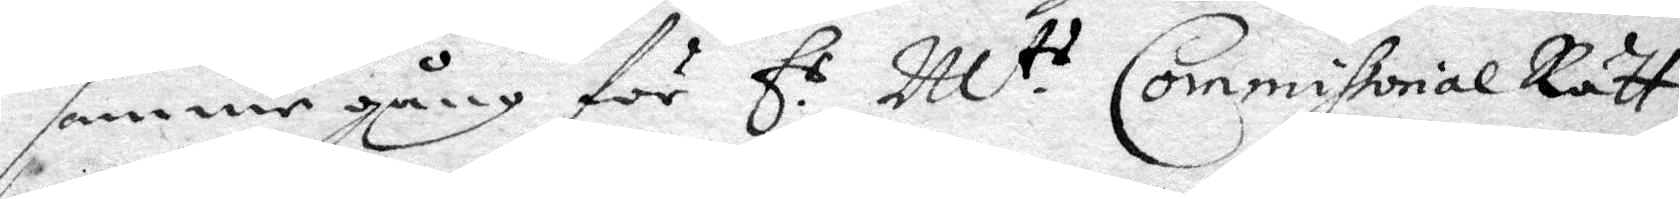samme gång för E.s M.ts Commissorial Rätt
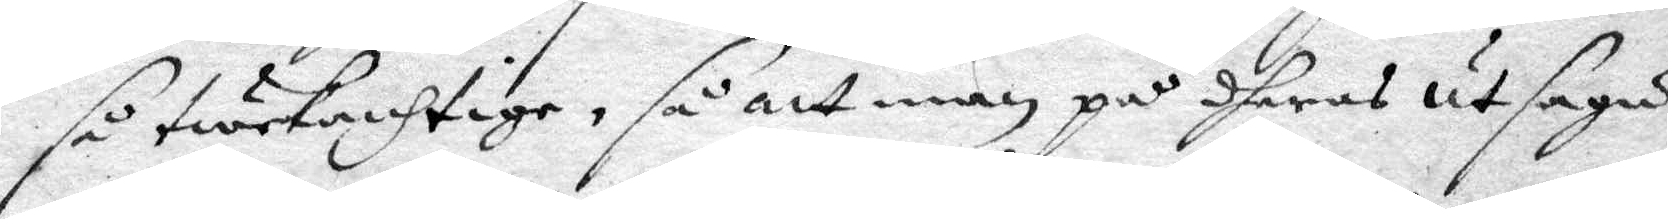så twekanhtige, så att man på dheras utsaga
